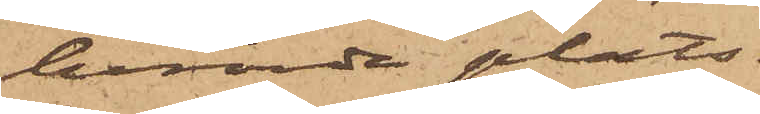berörda plats.
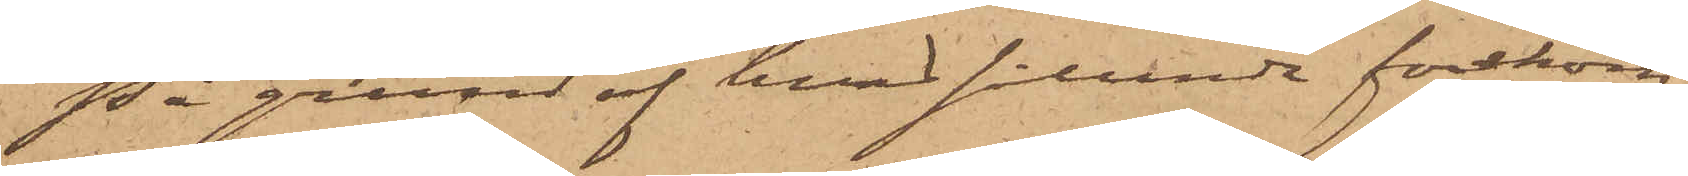På grund af hvad sålunda förekom¬
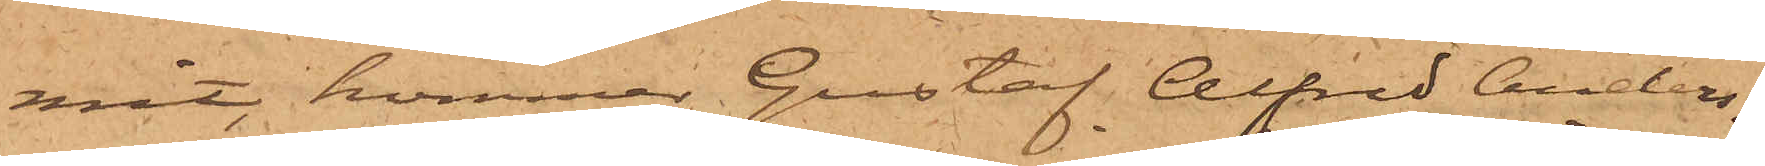mit, kommer Gustaf Alfred Anders¬
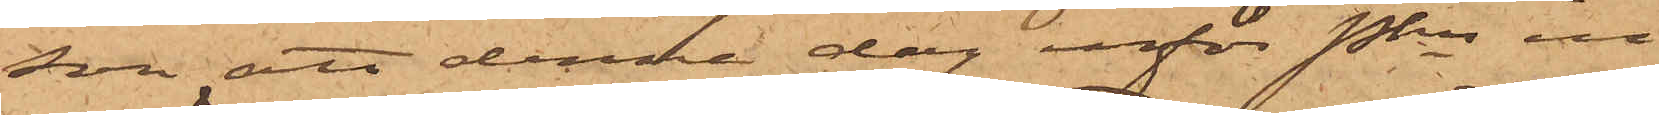son att denna dag inför Pkn in¬
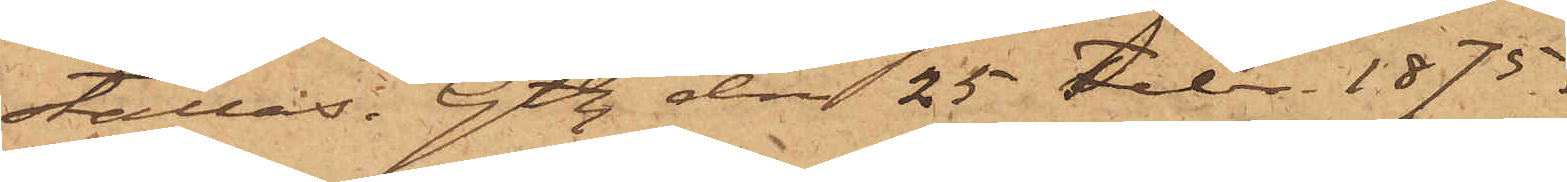ställas. Gtbg den 25 Febr. 1875.
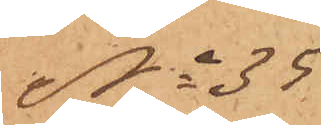No 35
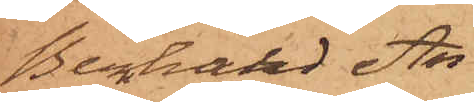Bernhard An¬
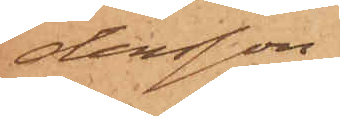dersson.
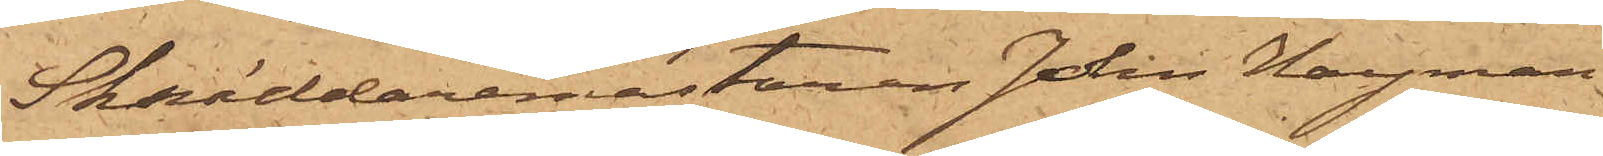Skräddaremästaren John Hayman,
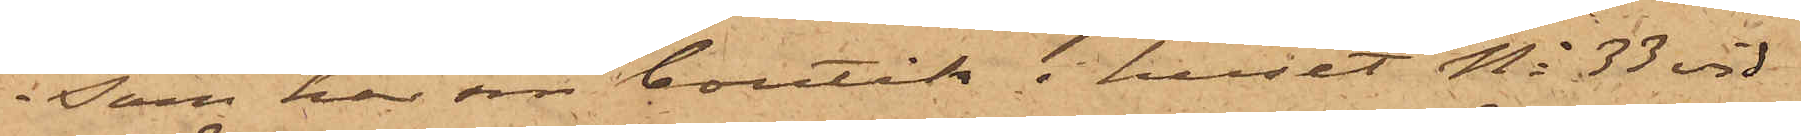som har sin butik i huset No 33 vid
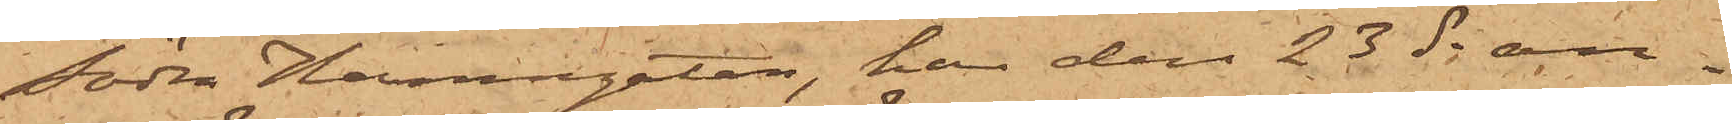Södra Hamngatan, har den 23 ds an¬
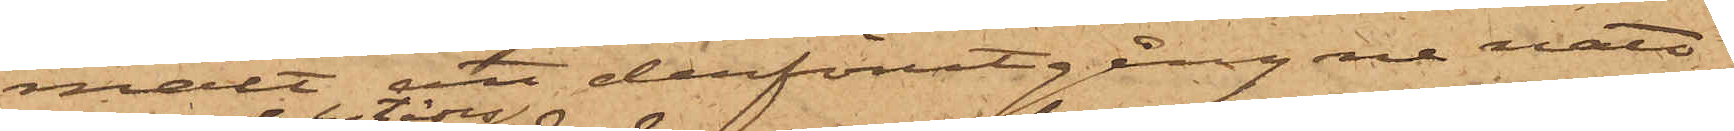mält att derförutgångne natt
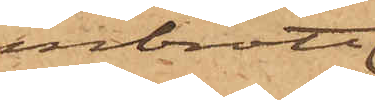inbrott
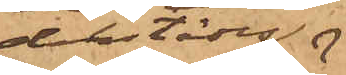derstädes
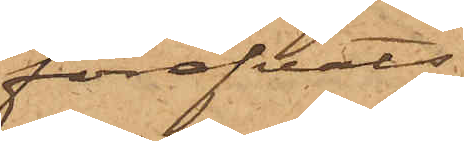föröfvats,
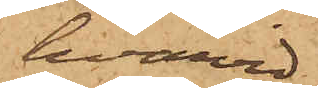hvarvid
